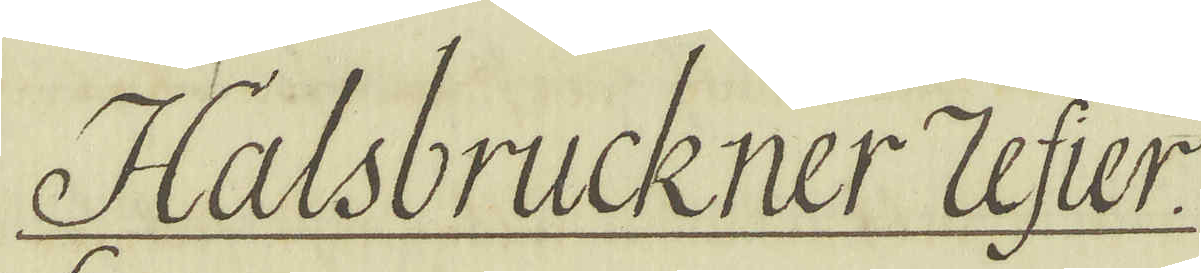Halsbrückner Zefier.
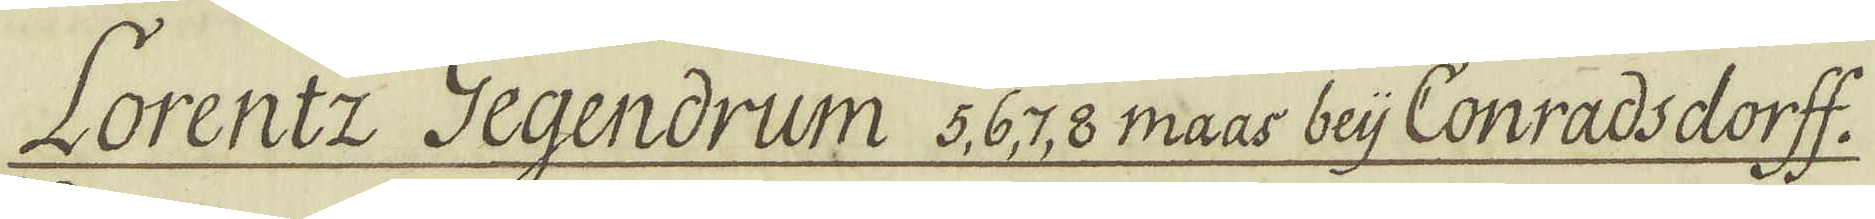Lorentz Gegendrum 5,6,7, 8 maas beij Conradsdorff.
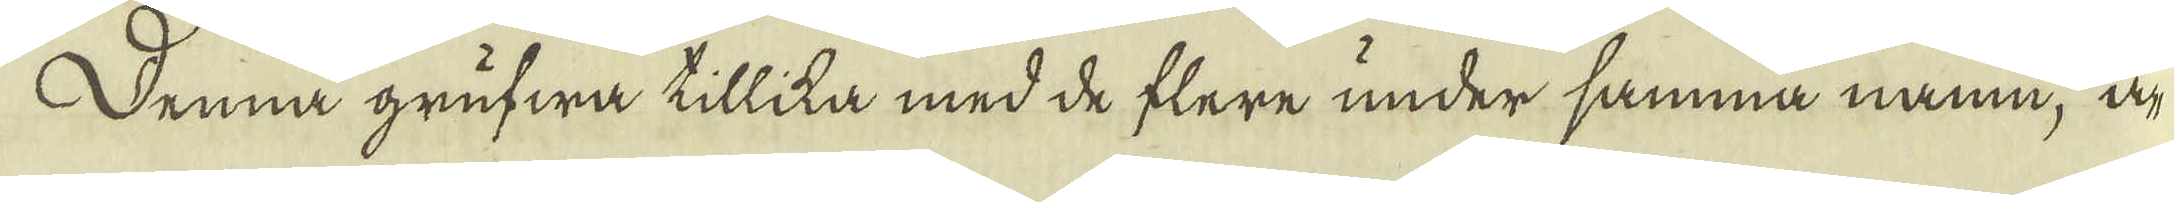Denna grufwa tillika med de flere under samma namn, ä-
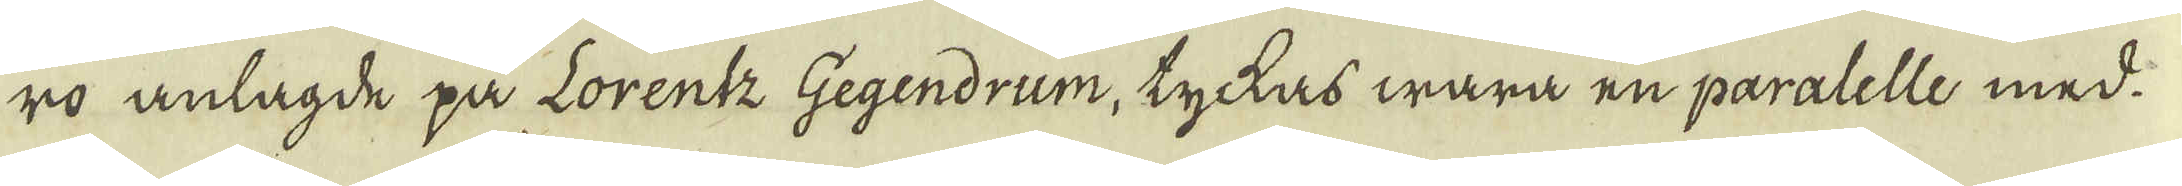ro anlagde på Lorentz Gegendrum, tyckas wara en paralelle med
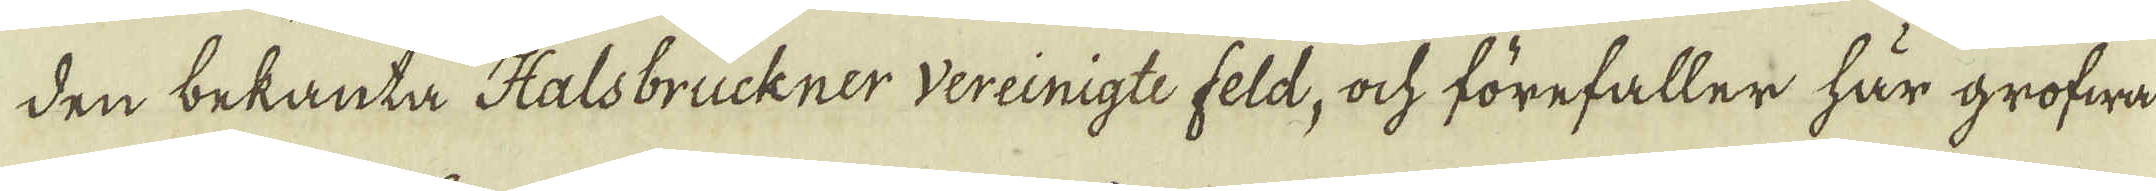den bekanta Halsbruckner vereinigte feld, ock förefaller här grofwa
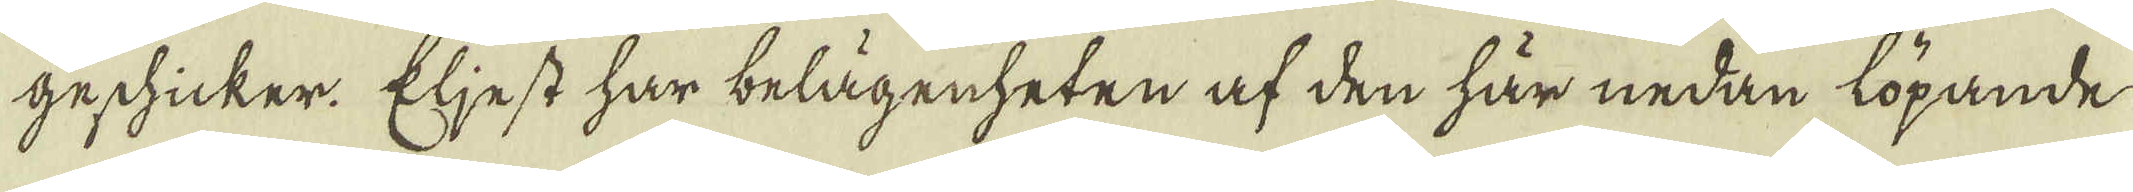geschicker. Eljest har belägenheten af den här nedan löpande
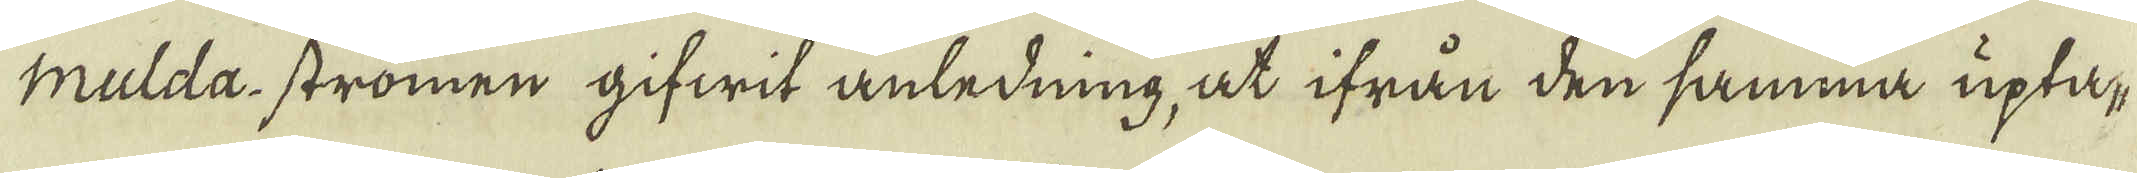mulda-strömen gifwit anledning, at ifrån den samma uptap-
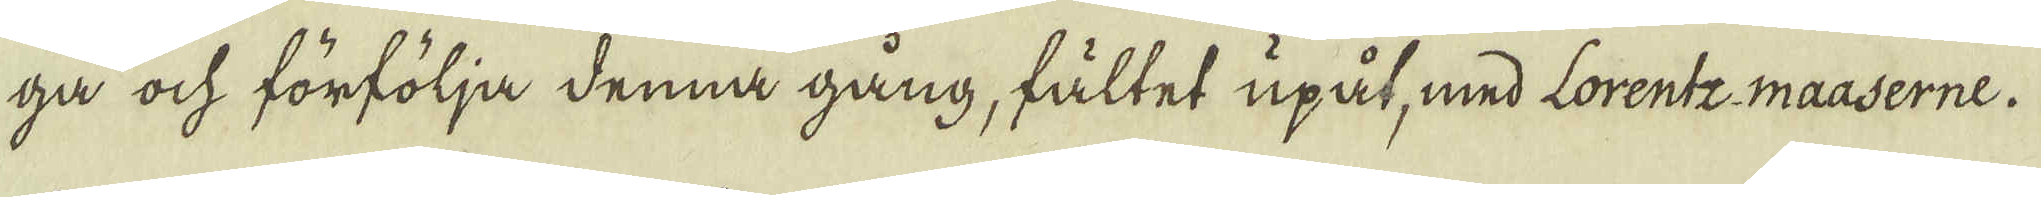ga ock förfölja denna gång, fältet upåt, med Lorentz maaserne.
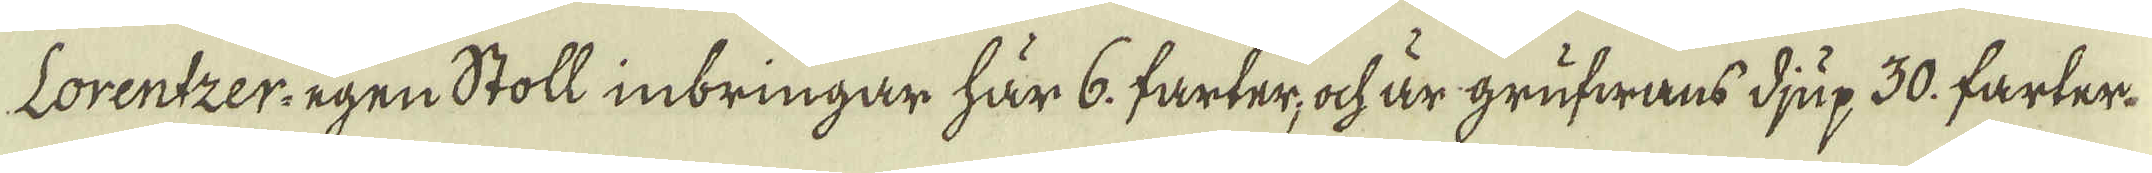Lorentzer-egen Stoll inbringar här 6. farter, ock är grufwans djup 30. farter.
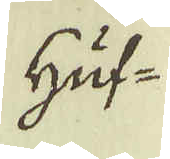Huf-
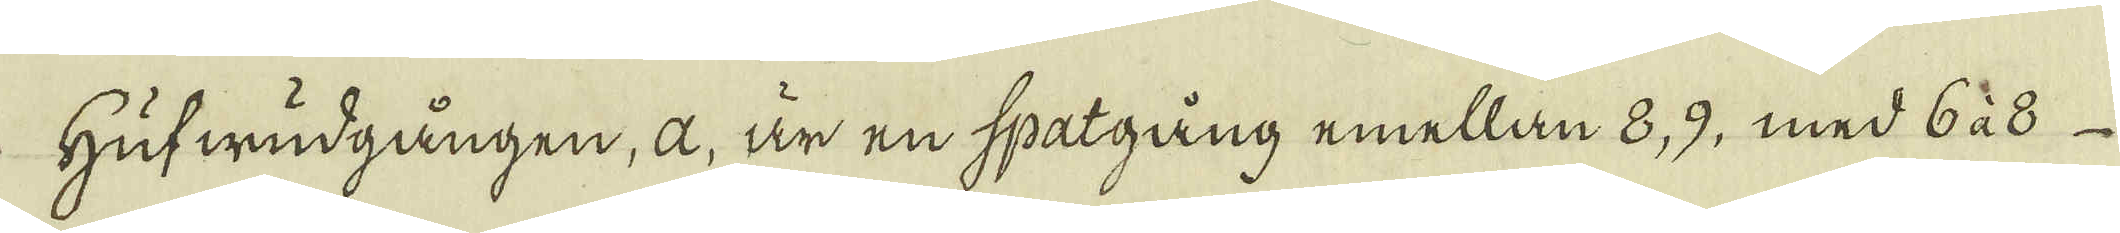Hufwudgången, a, är en spatgång emellan 8, 9, med 6 à 8
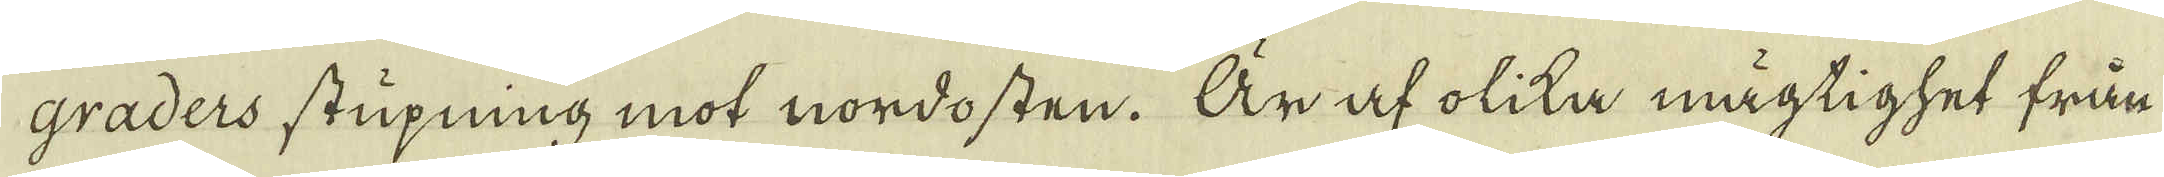graders stupning mot nordosten. Är af olika mägtighet från
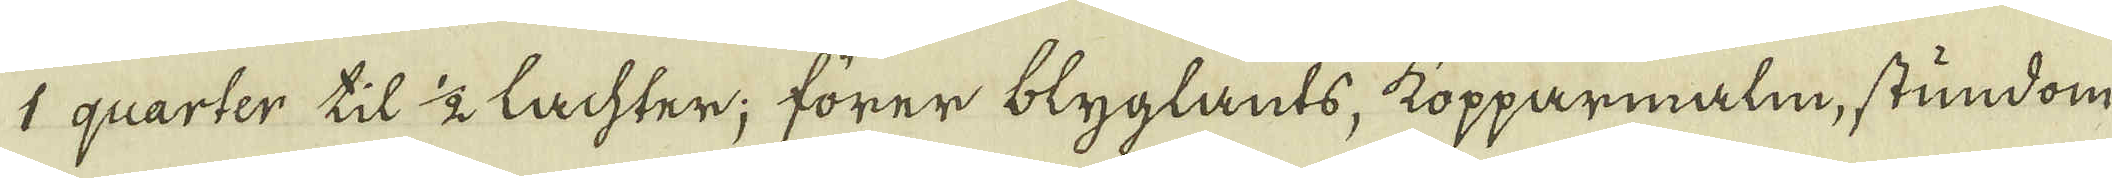1 quarter til 1/2 lachter; förer blyglants, kopparmalm, stundom
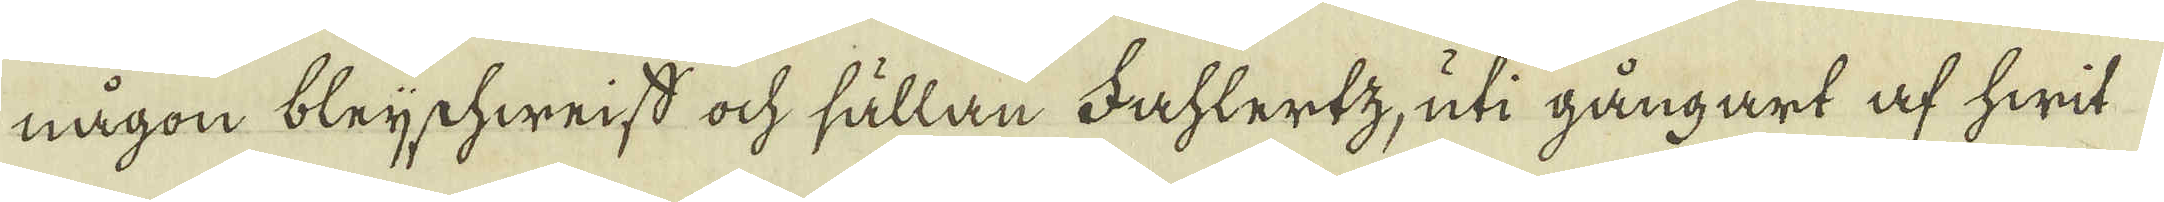någon bleijchweiss ock sällan Fahlertz, uti gångart af hwit
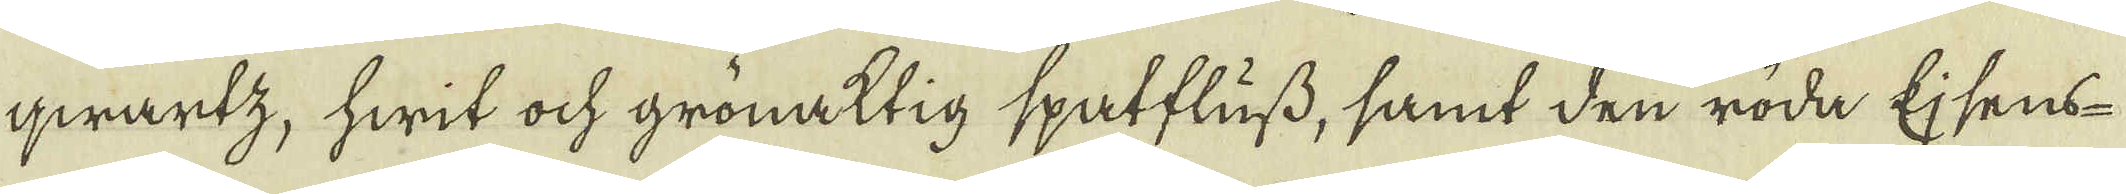qwartz, hwit ock grönaktig spatfluss, samt den röda Ejsens-
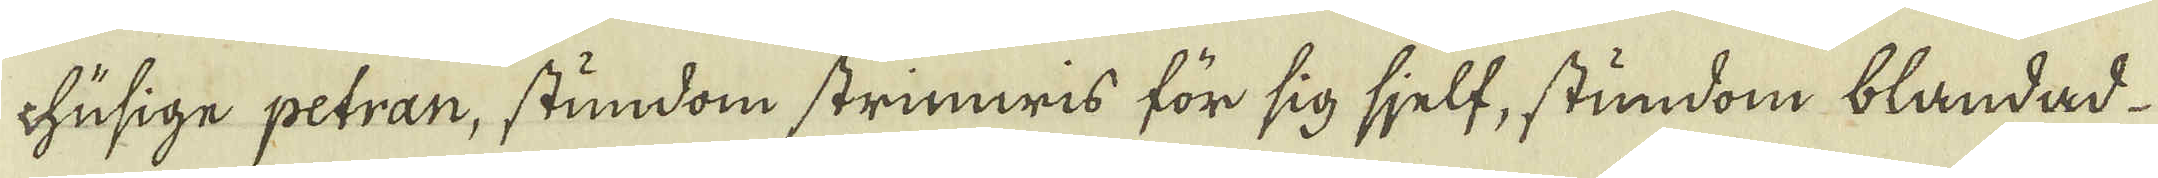chusige petran, stundom strimwis för sig sjelf, stundom blandad
